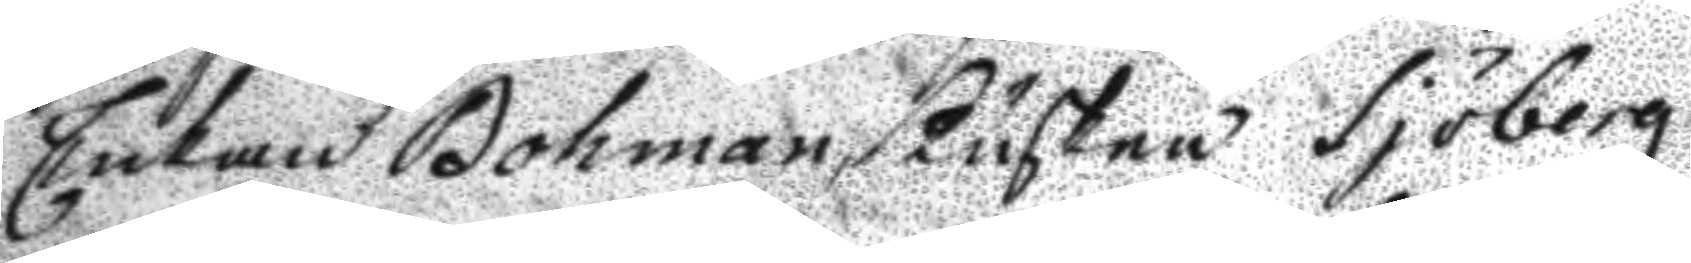Enkan Bohman, Kusken Sjöberg
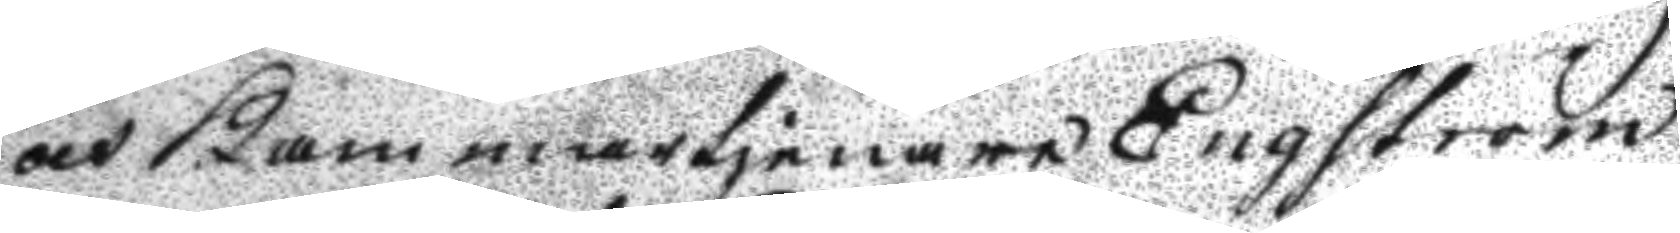och Kammartjenare Engström
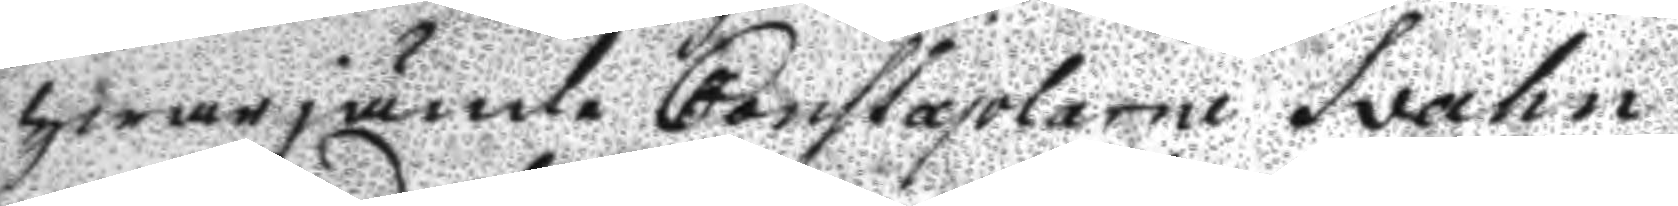hwarjämte Constaplarne Svahn
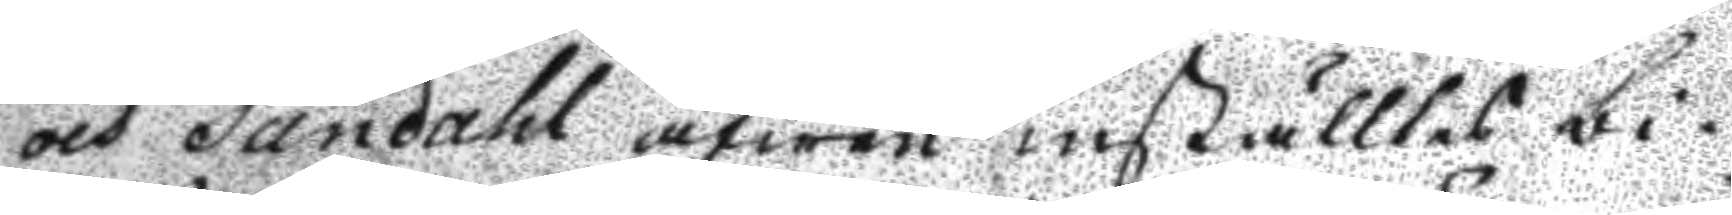och Sandahl äfwen inställtes bi¬
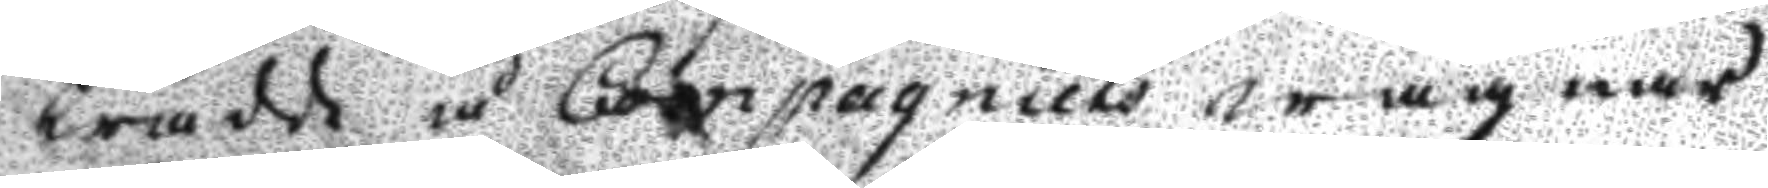trädd å Compagniets wägnar
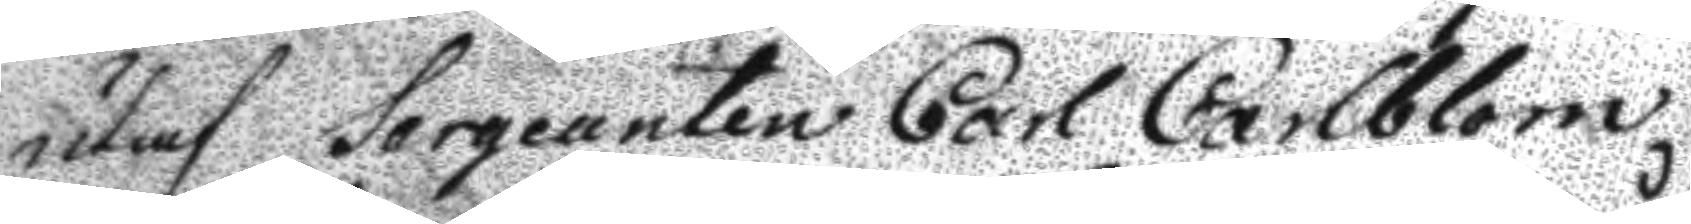utaf Sergeanten Carl Carlblom
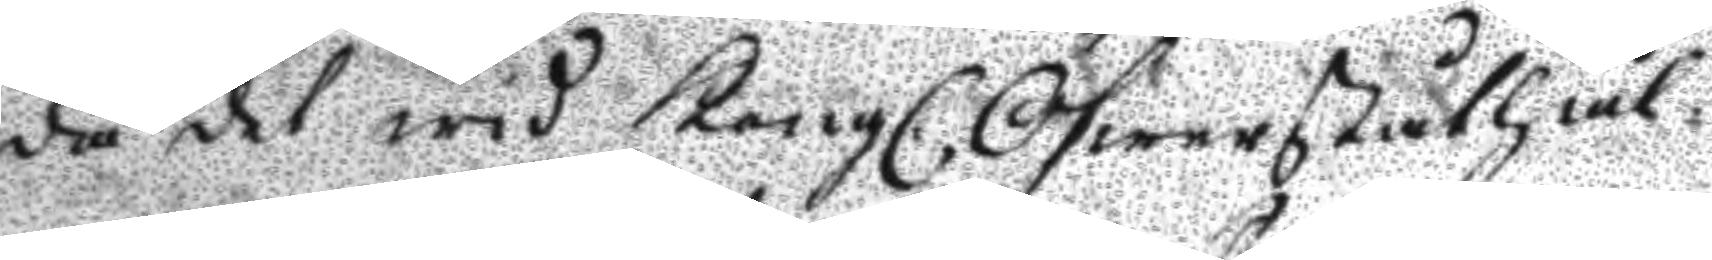då det wid Kongl. Öfwerståthål¬
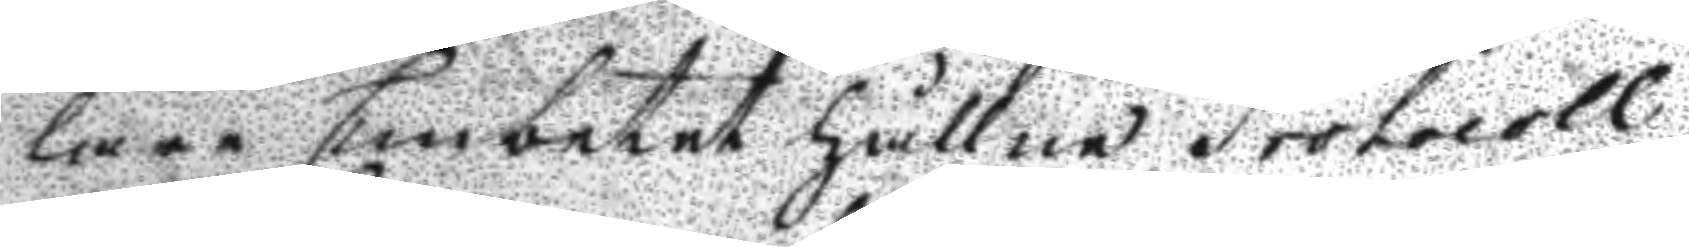lare Embetet hållne Protocoll
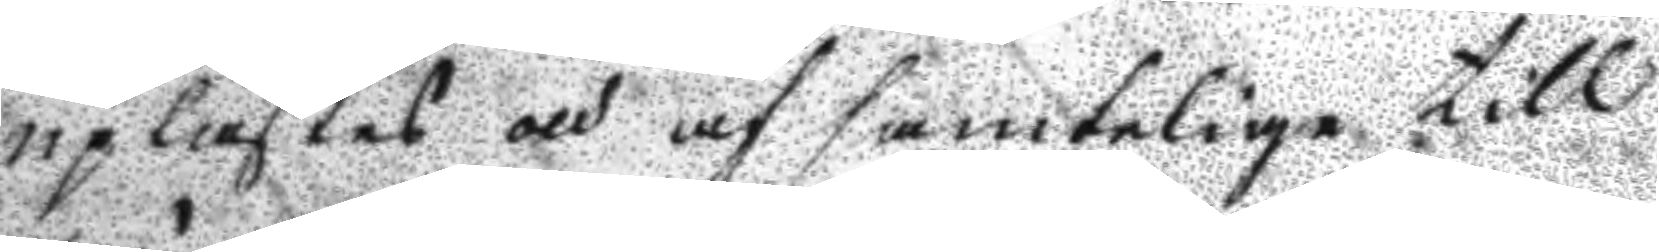uplästes och af samtelige till
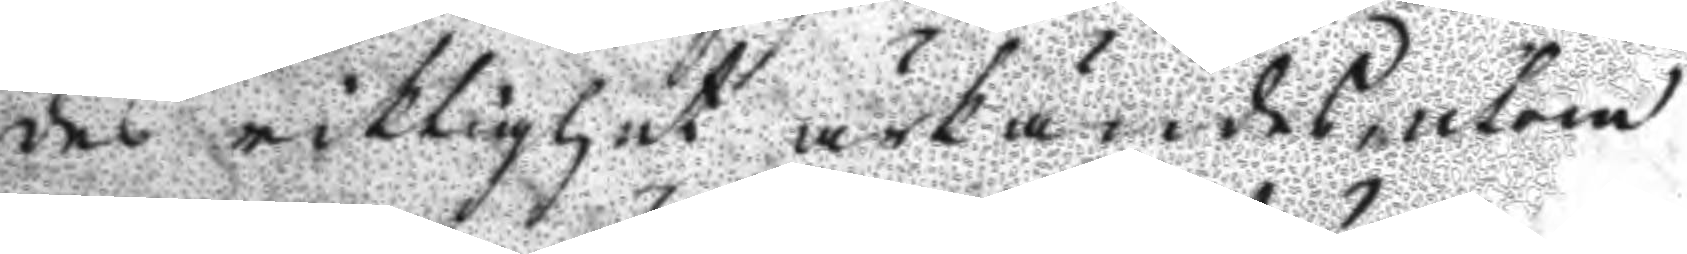des riktighet ärkändes, utom
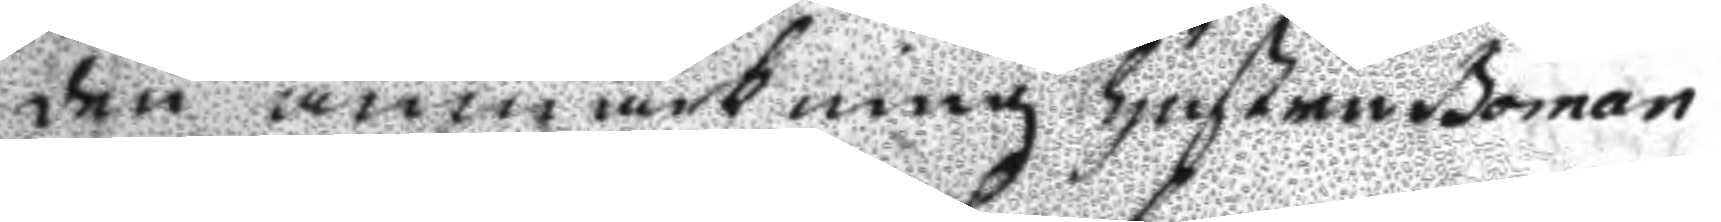den anmärkning hustru Boman
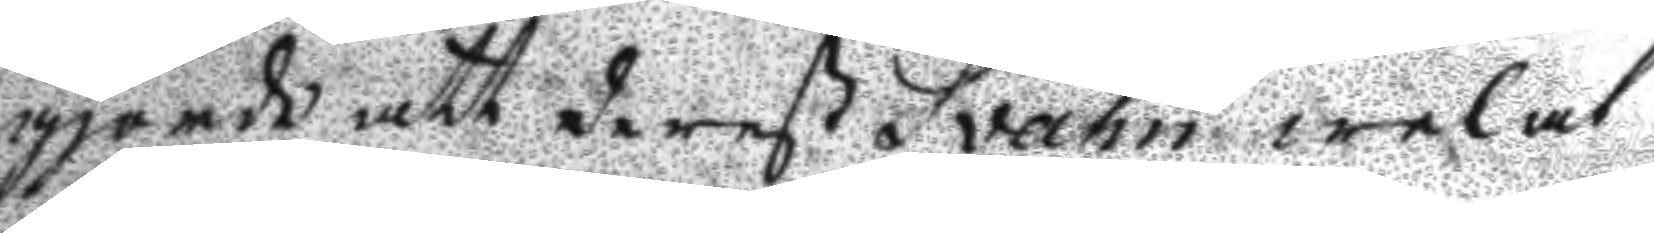gjorde att derest Svahn welat
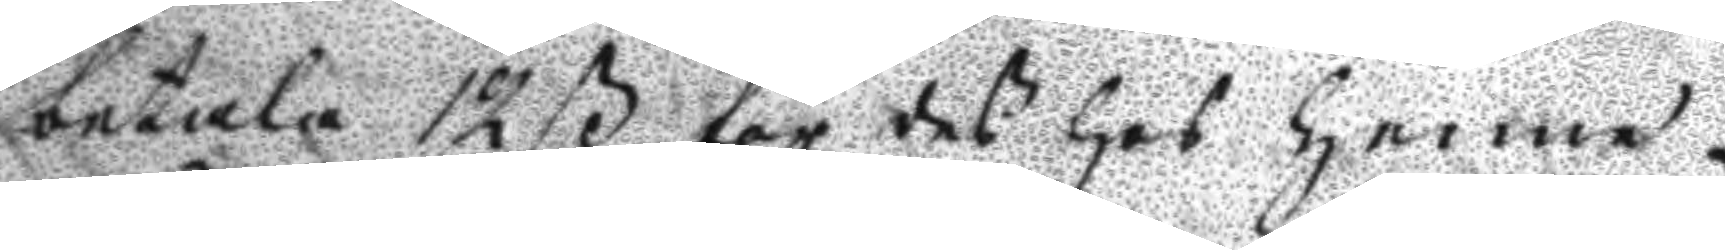betala 12 ß för des hos henne
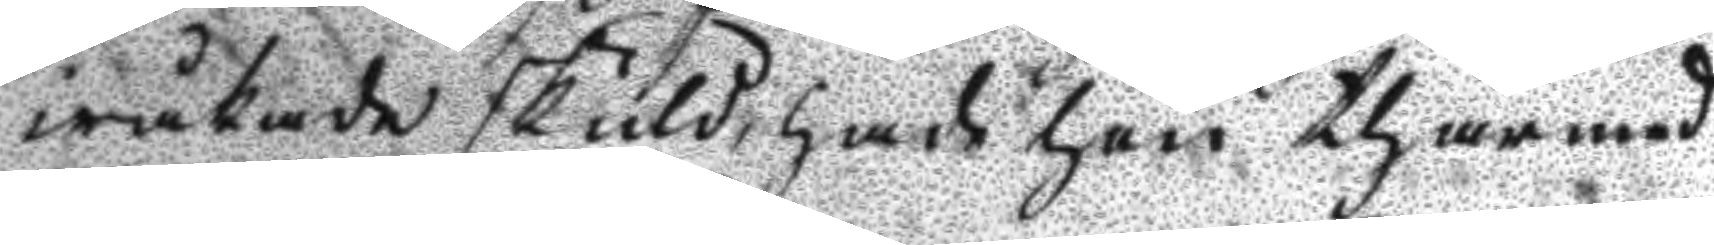iråkade skuld, hade han thärmed
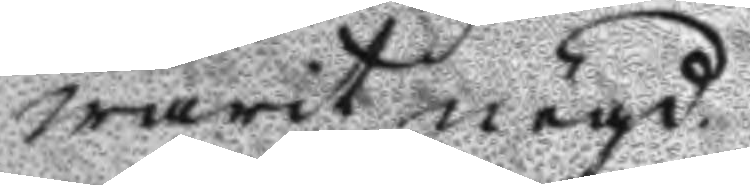warit nögd.
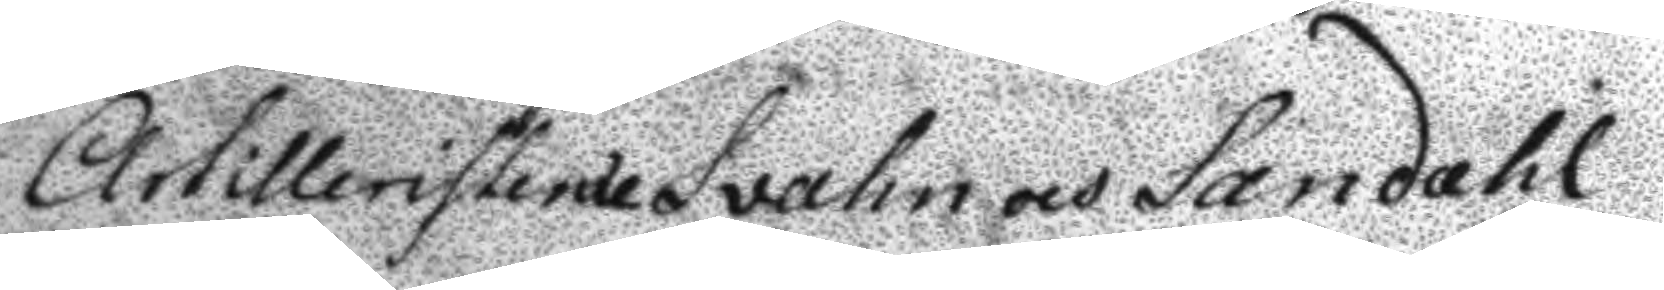Artilleristerne Svahn och Sandahl
